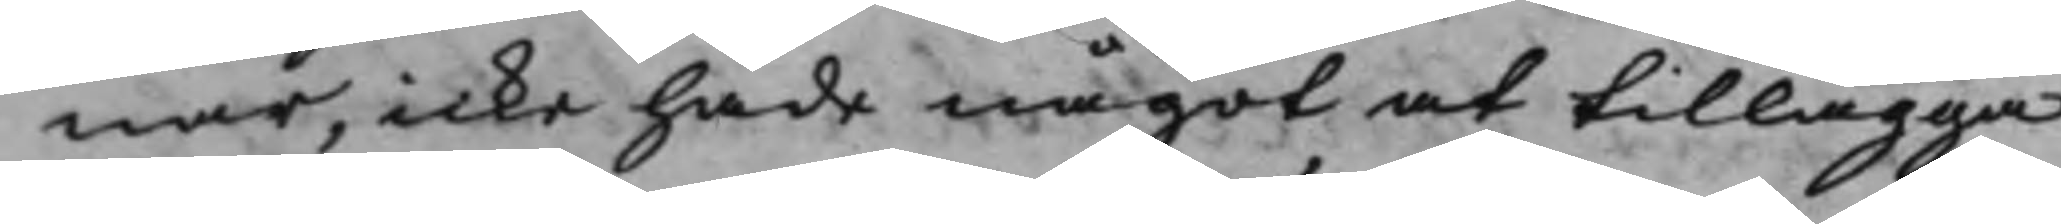nar, icke hade något at tillägga
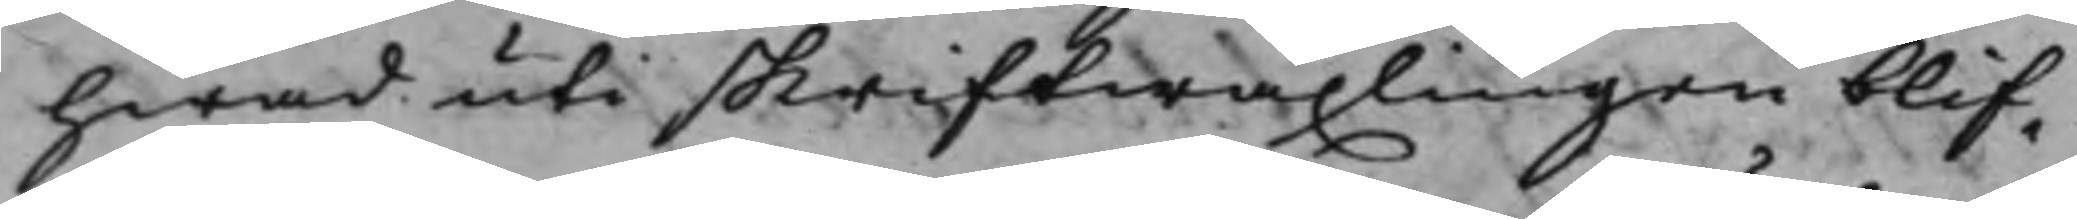hwad uti skriftwäxlingen blif¬
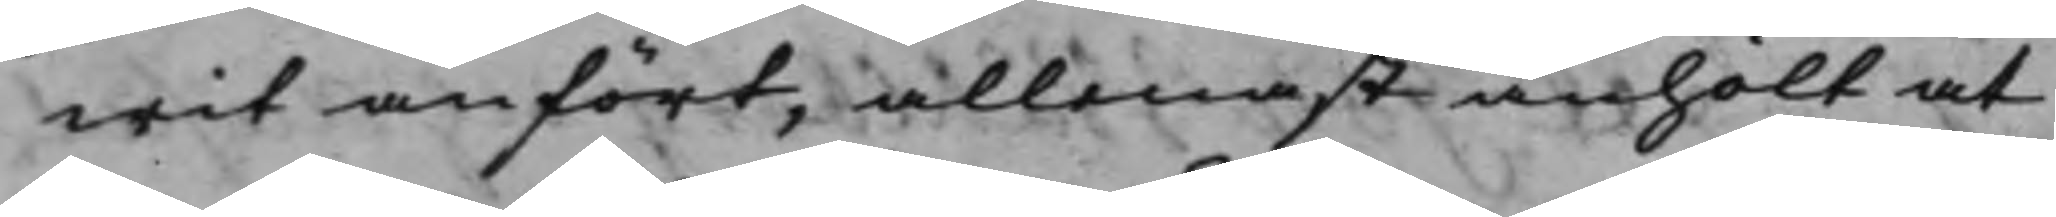wit anfört, allenast anhölt at
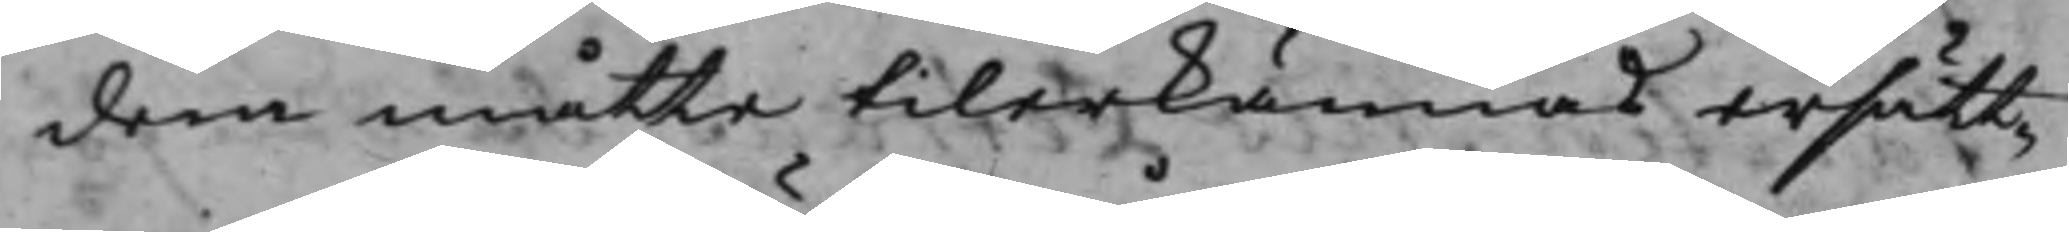dem måtte tilerkännas ersätt¬
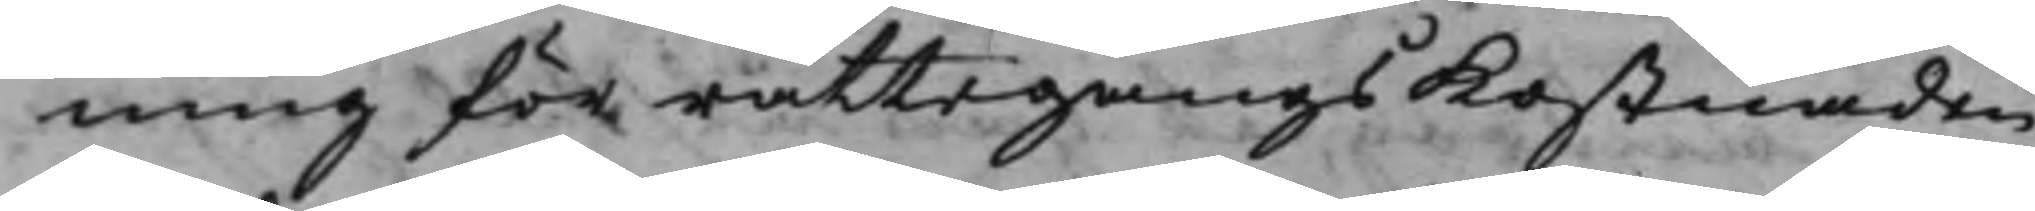ning för rättegångsKostnaden
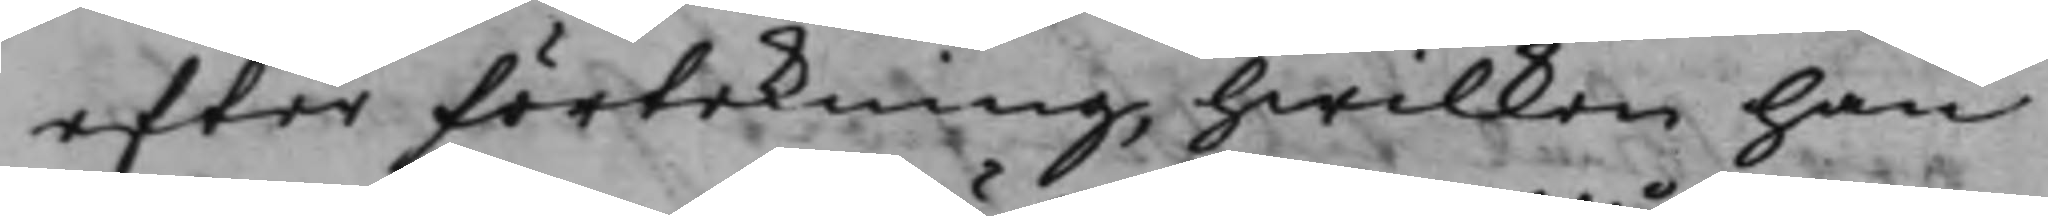efter förtekning, hwilken han
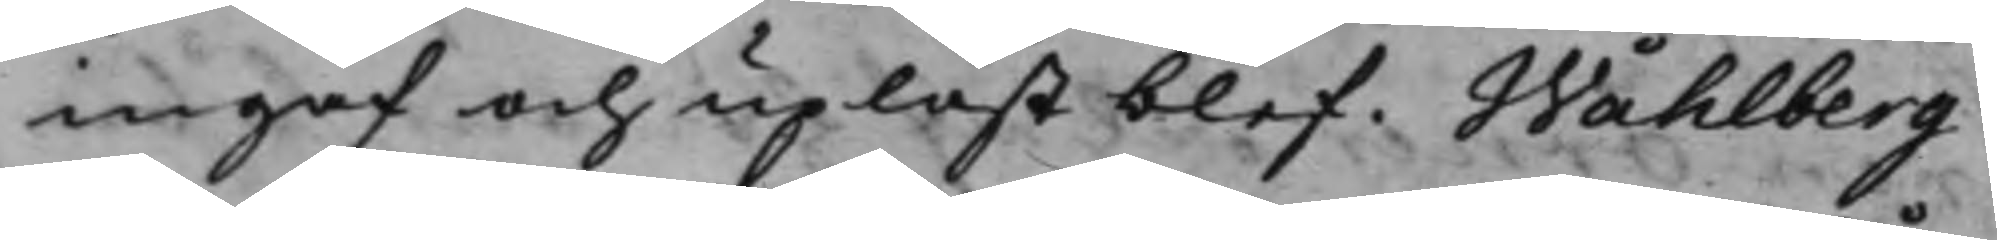ingaf och upläst blef. Wåhlberg
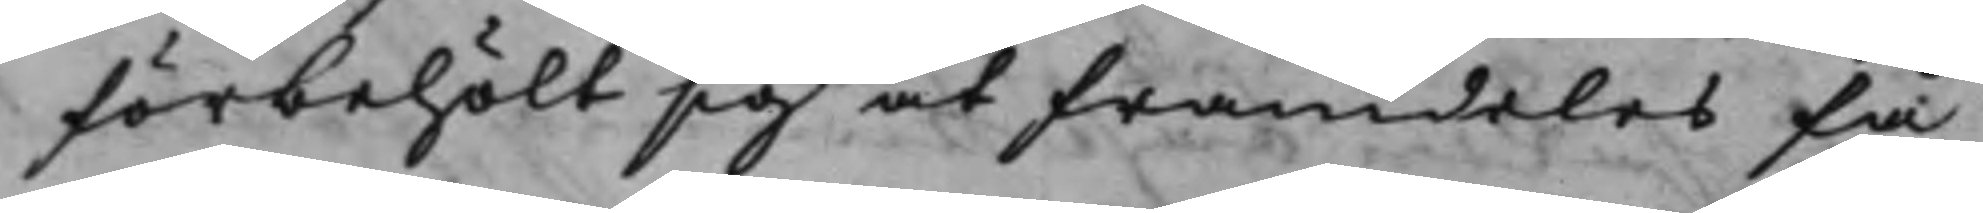förbehölt sig at framdeles få
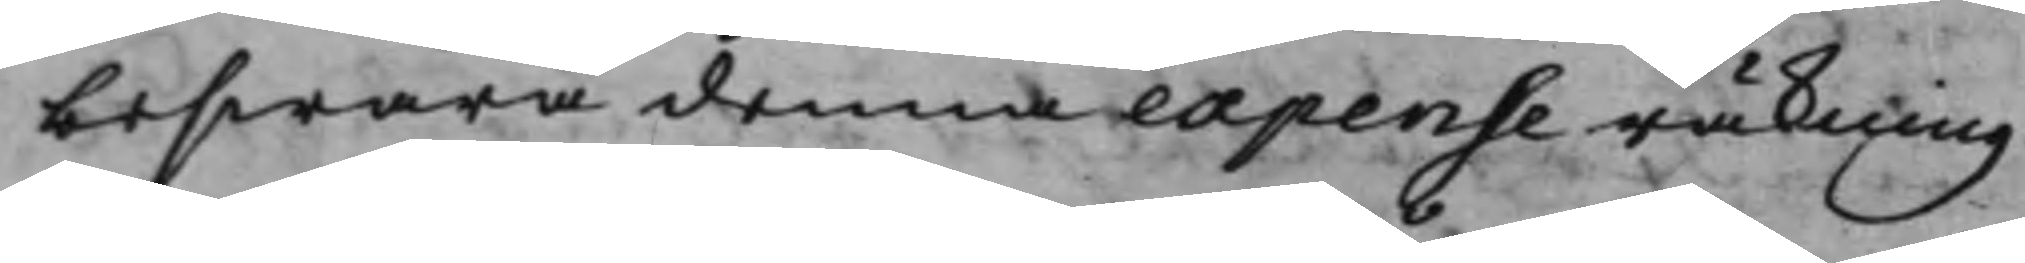beswära denna expense räkning
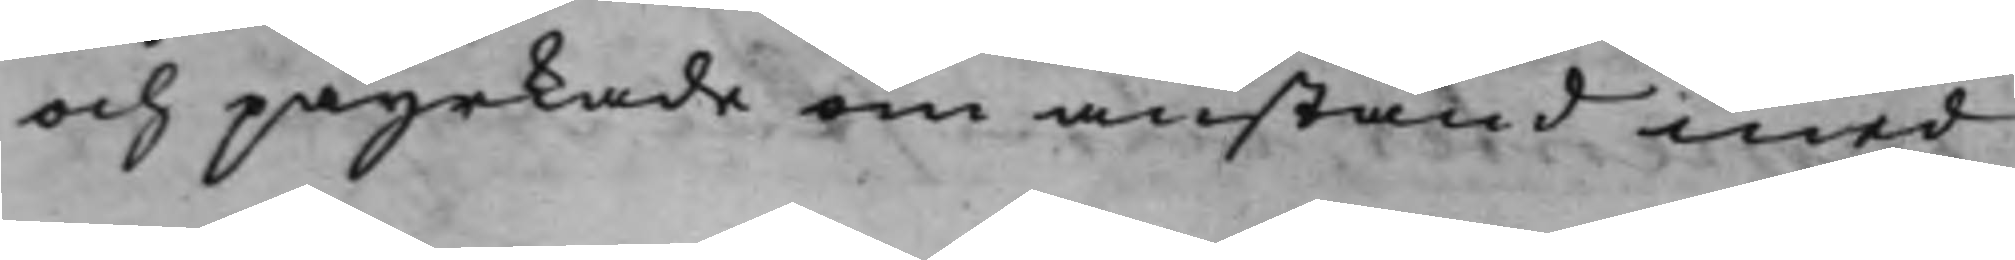och påyrkade om anstånd med
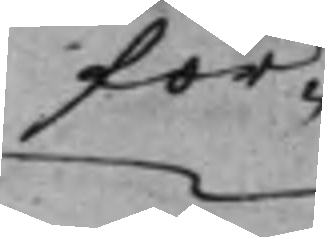för¬
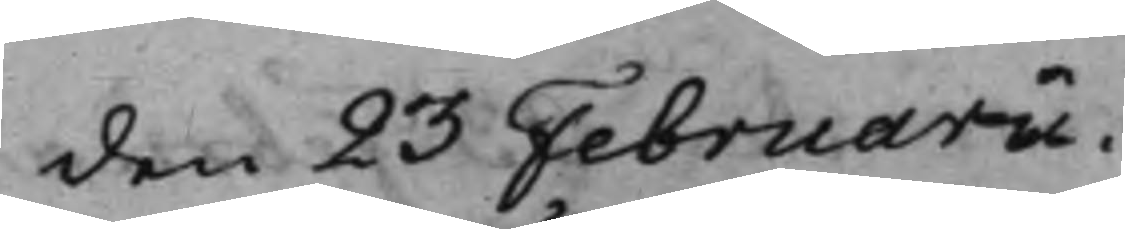den 23 Februarii.
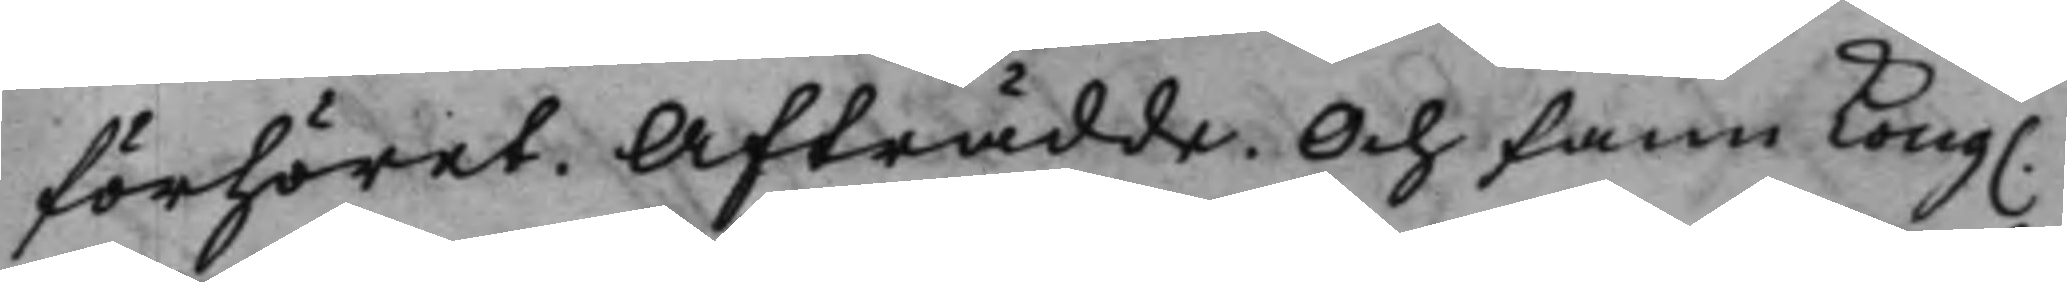förhöret. Afträdde. Och fann Kong. 
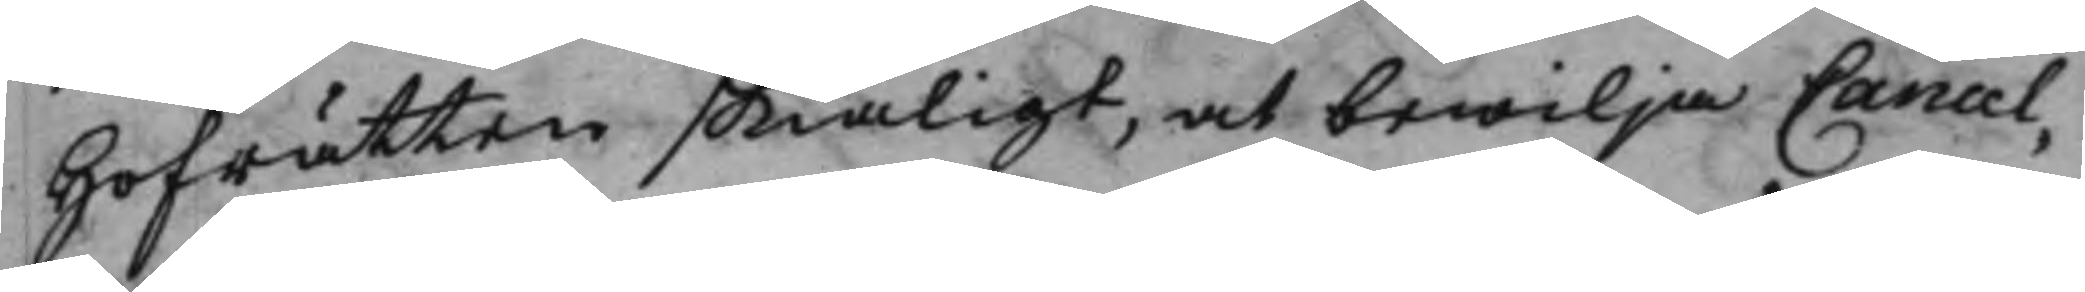Hofrätten skiäligt, at bewilja Cancel¬
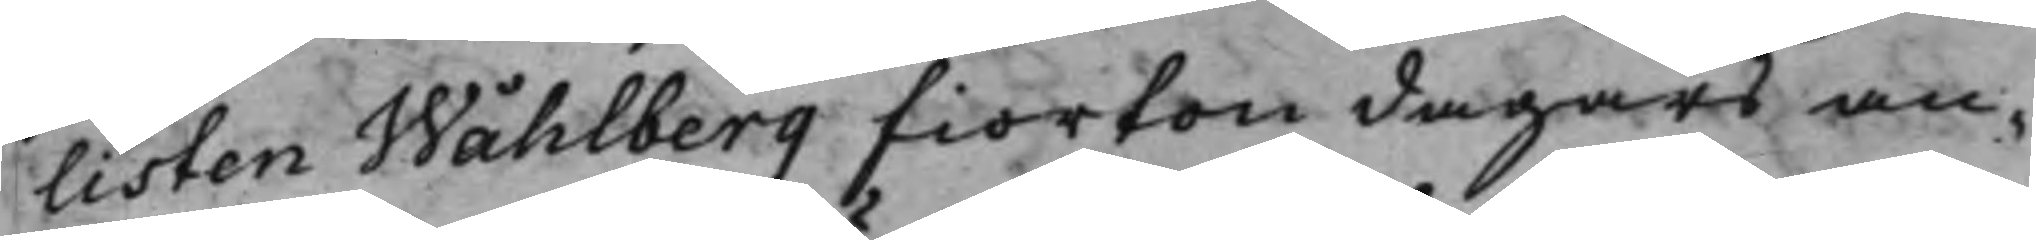listen Wåhlberg fiorton dagars an¬
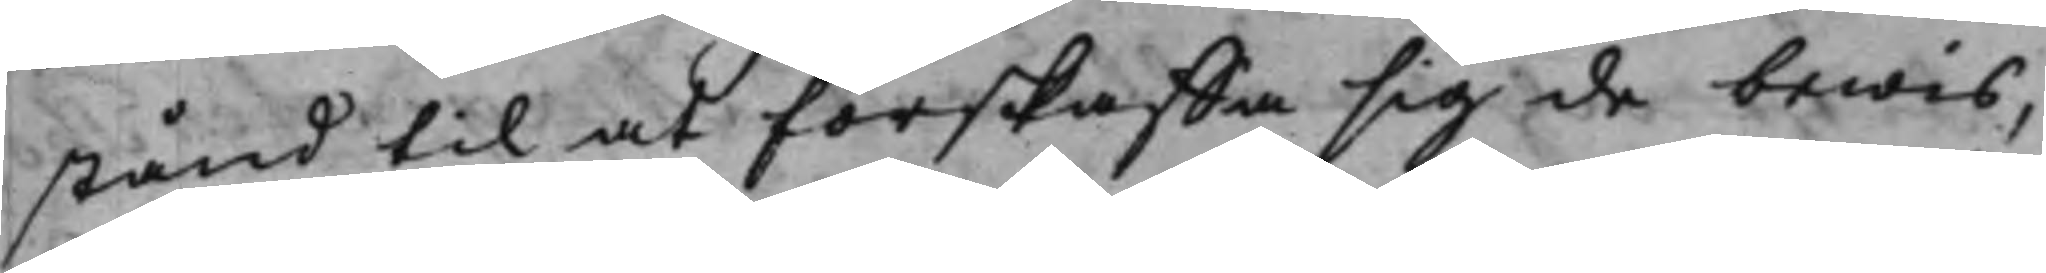stånd til at förskaffa sig de bewis,
